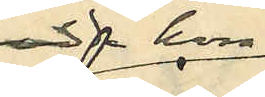bodde hon
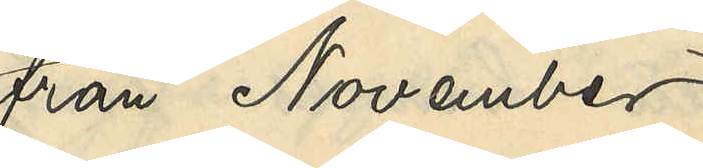från November
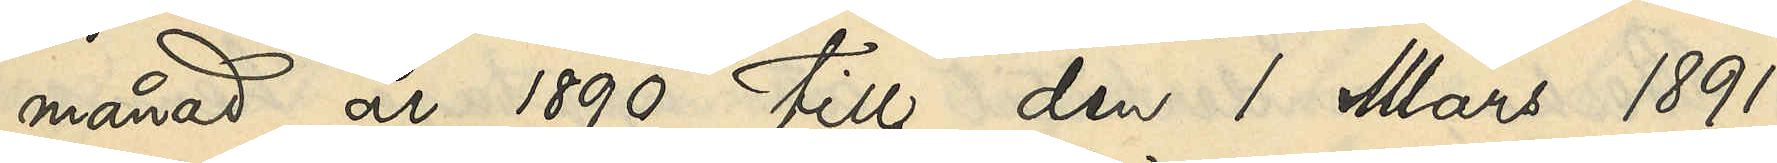månad år 1890 till den 1 Mars 1891
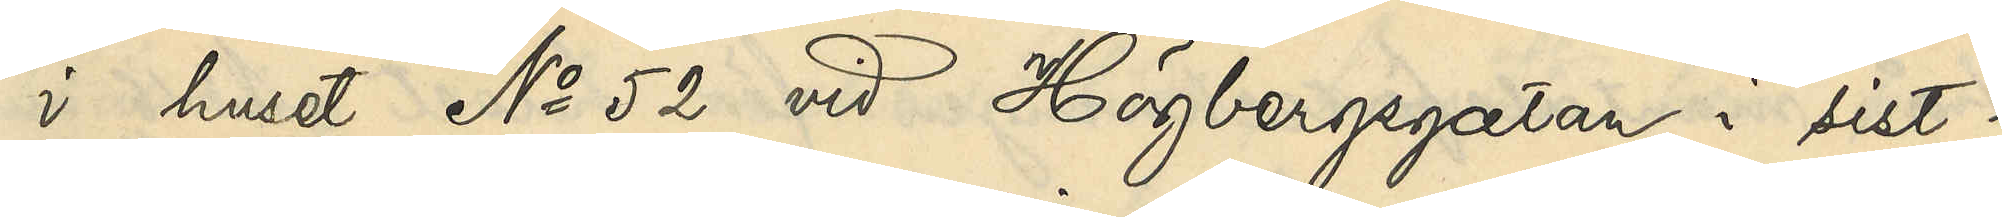i huset No 52 vid Högbergsgatan i sist¬
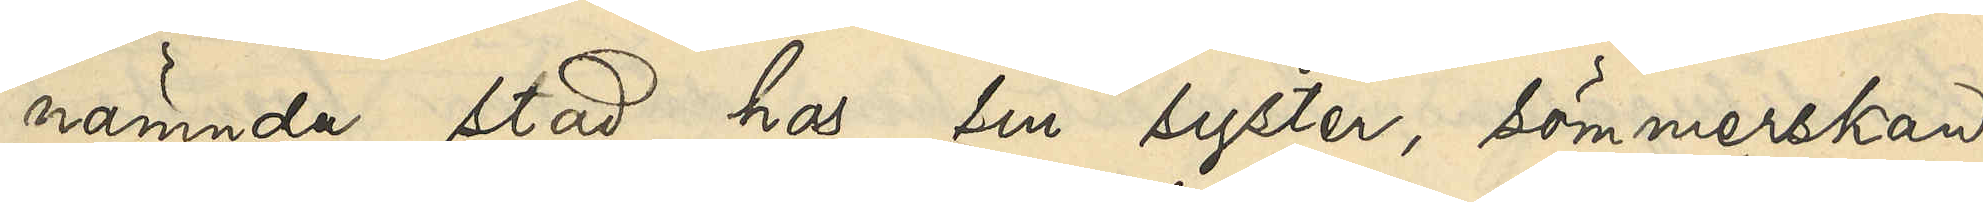nämnda stad hos sin syster, sömmerskan
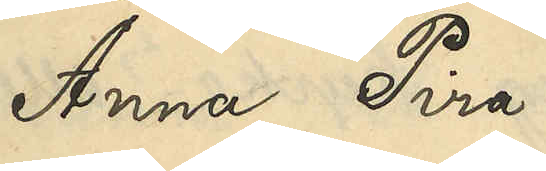Anna Pira
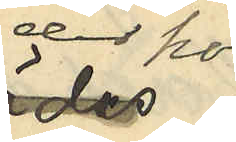der hon
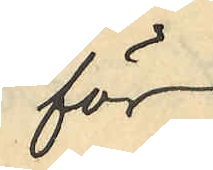för
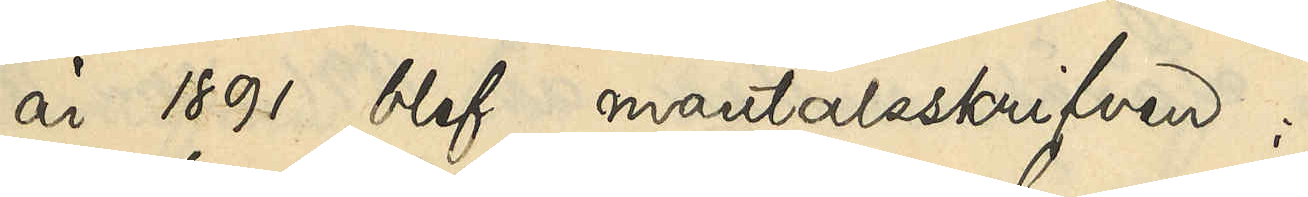år 1891 blef mantalsskrifven;
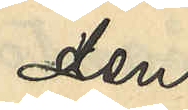den
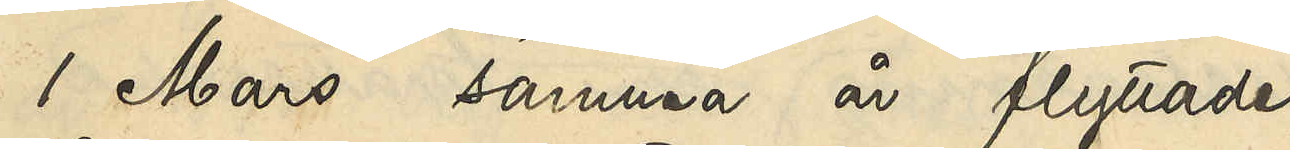1 Mars samma år flyttade
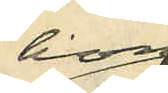hon
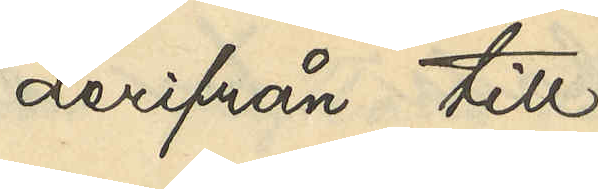derifrån till
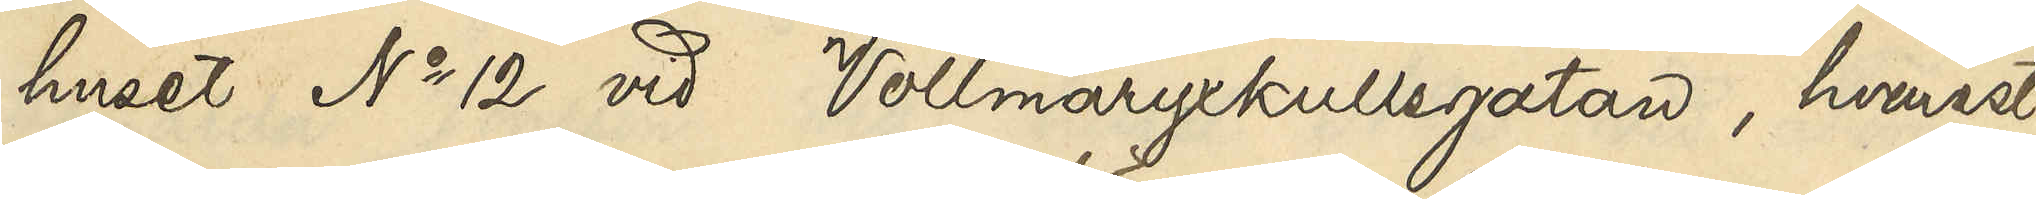huset No 12 vid Vollmaryxkullsgatan, hvarest
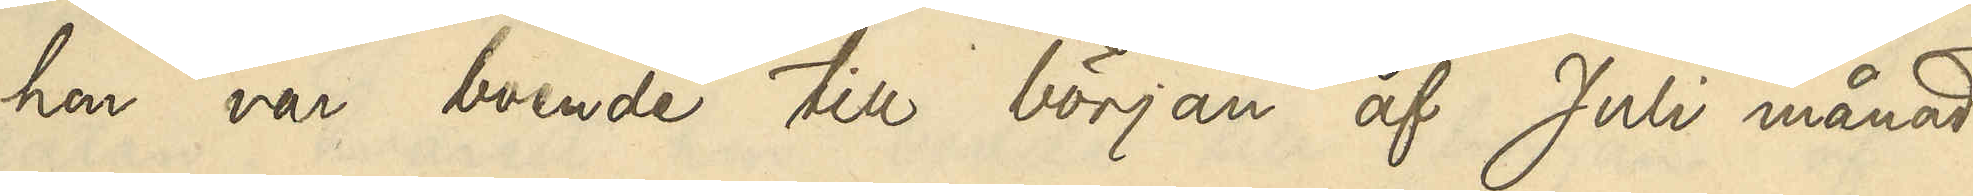hon var boende till början af Juli månad
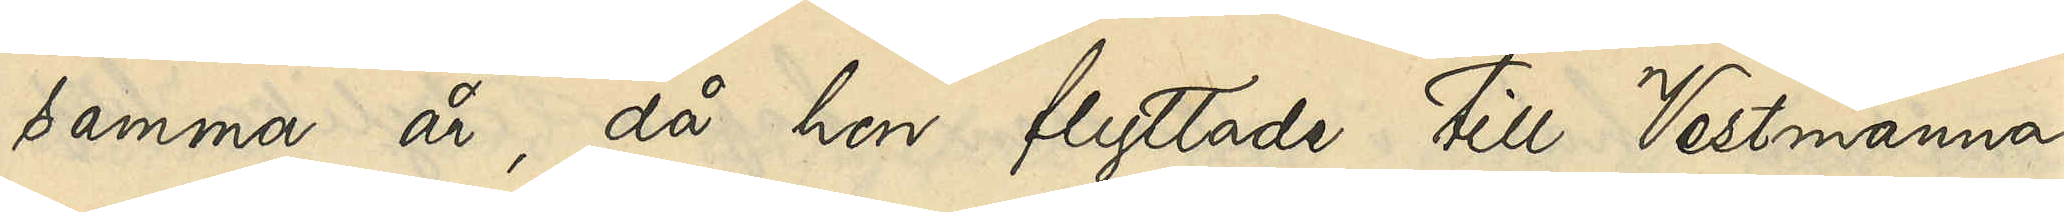samma år, då hon flyttade till Vestmanna¬
